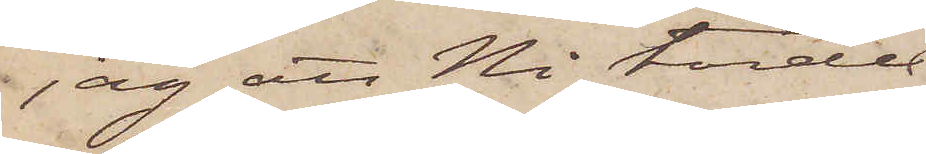jag att Ni torde
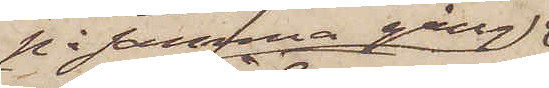på samma gång
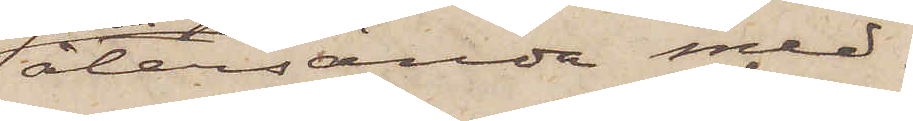återsända med¬
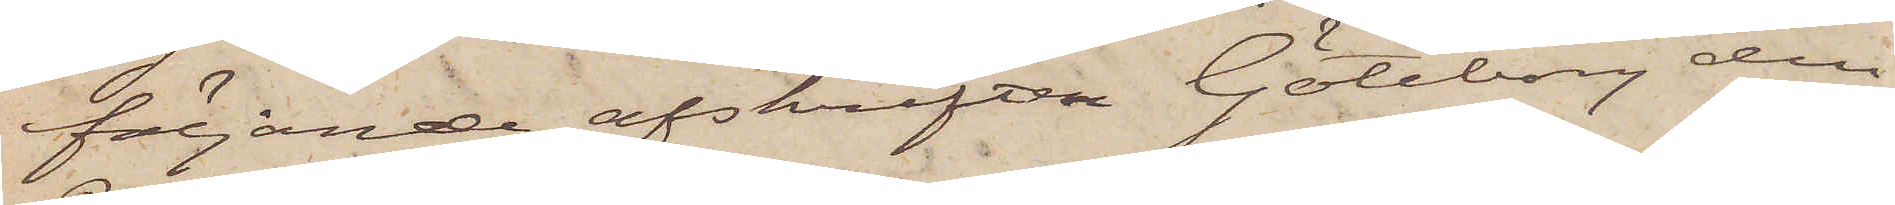följande afskriften Göteborg den
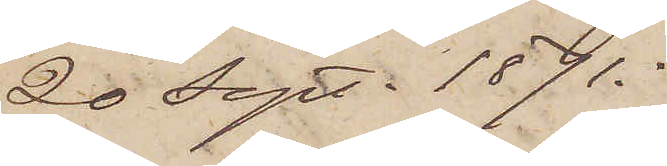20 Sept. 1871.
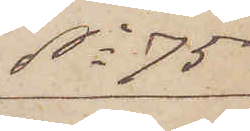No 75
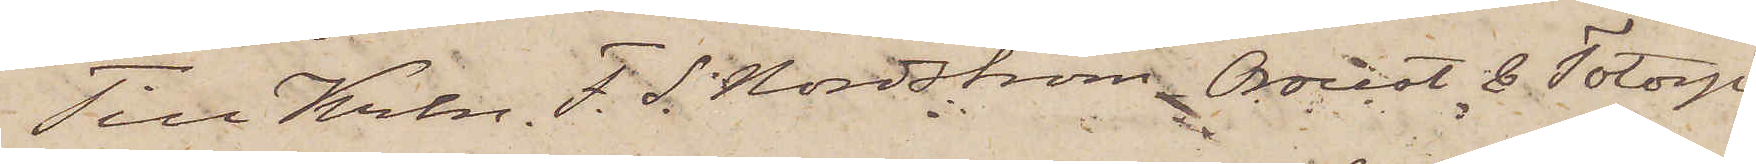Till Krln F. S. Nordström Oroust & Totorp
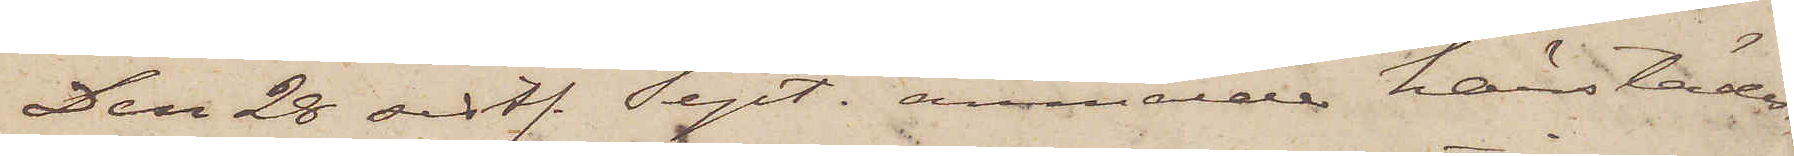Den 28 sistl. Sept. anmälde härstädes
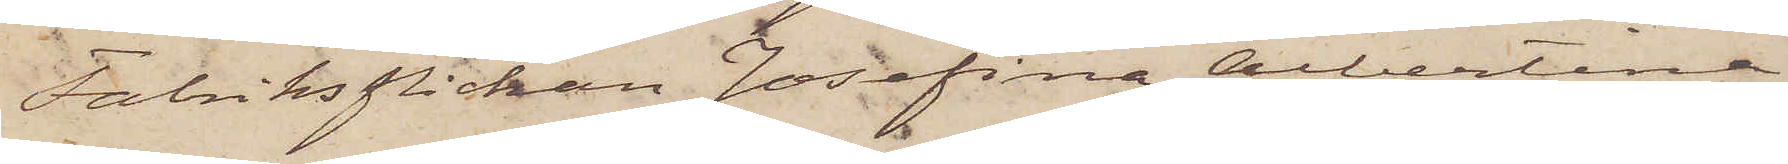Fabriksflickan Josefina Albertina
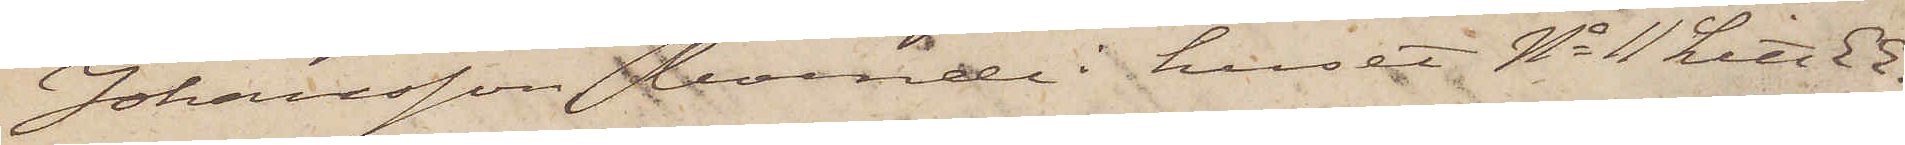Johansson, boende i huset No 11 Litt EE.
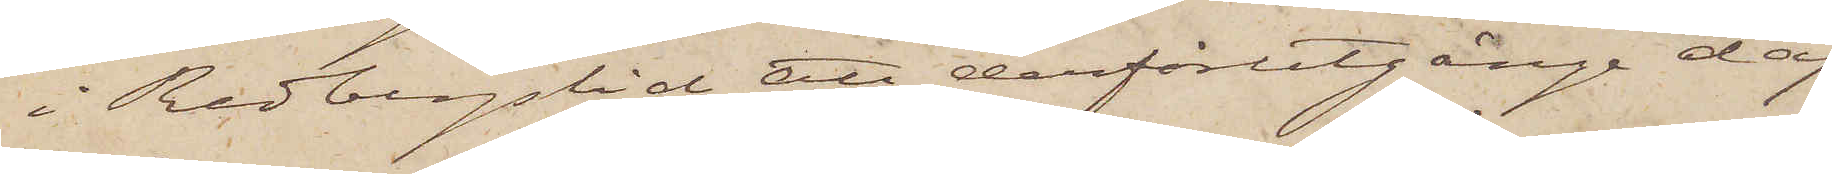i Redbergslid att derförutgånge dag
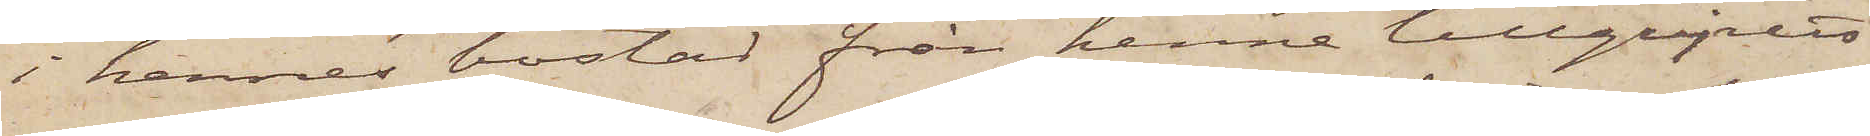i hennes bostad från henne tillgripits
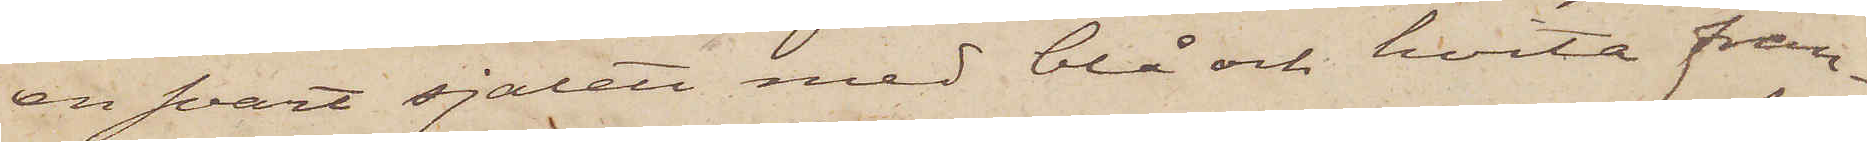en svart sjalett med blå och hvita fran¬
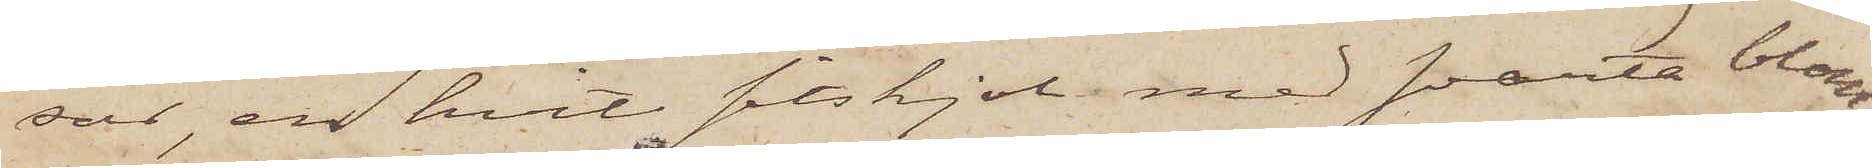sar, en hvit sitskjol med svarta blom¬
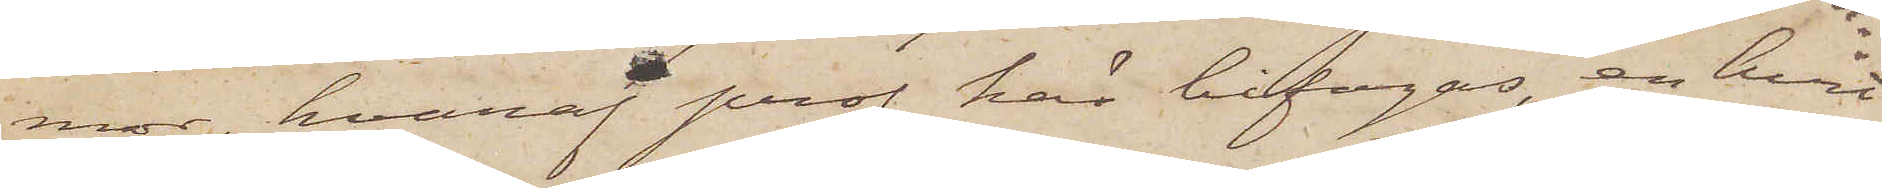mor, hvaraf prof här bifogas, en hvit
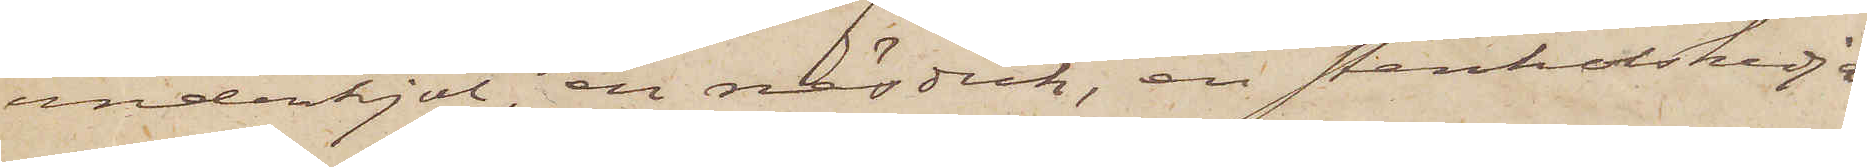underkjol, en näsduk, en stenkolskedja
